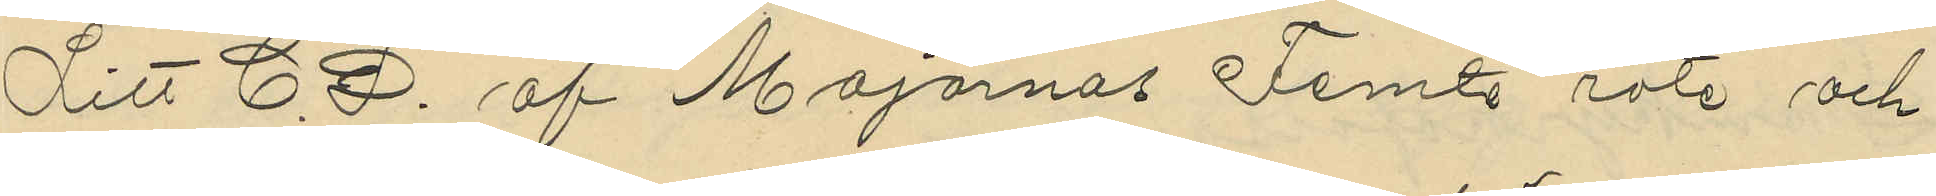Litt C. D. af Majornas Femte rote och
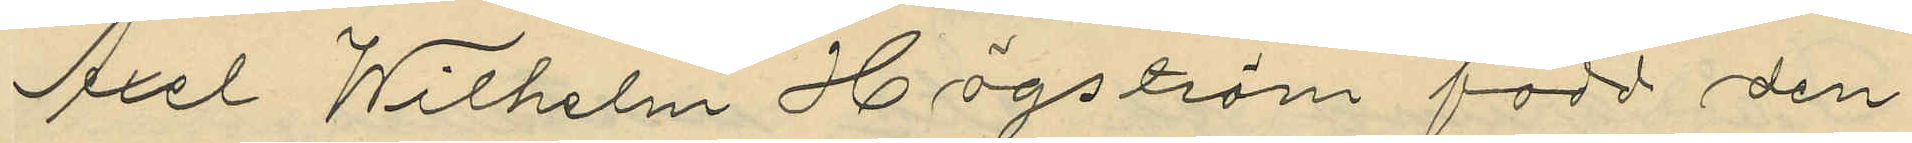Axel Wilhelm Högström född den
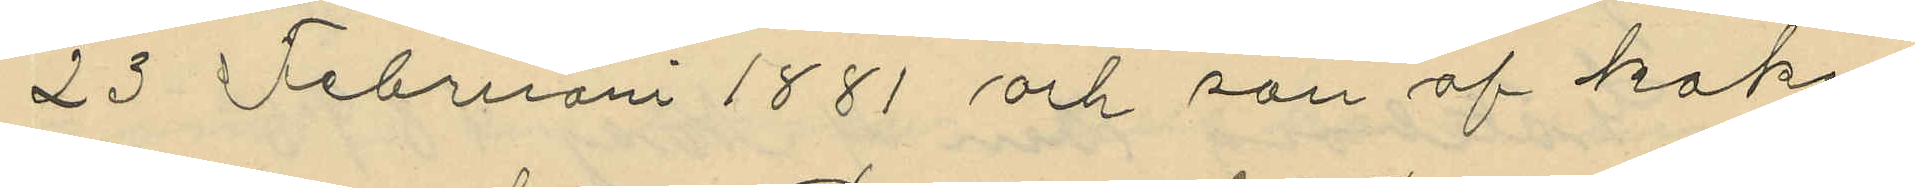23 Februarri 1881 och son af kake¬
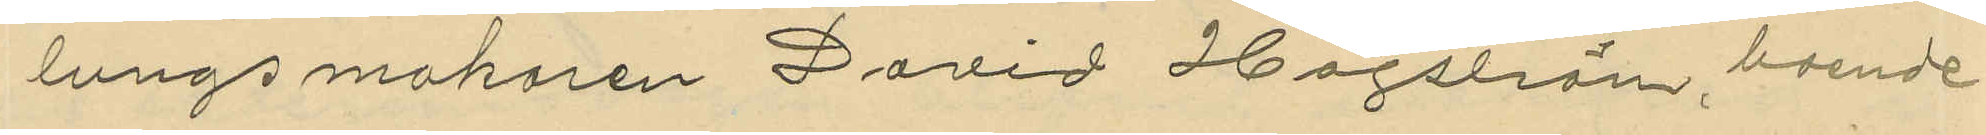lungs makaren David Högström boende
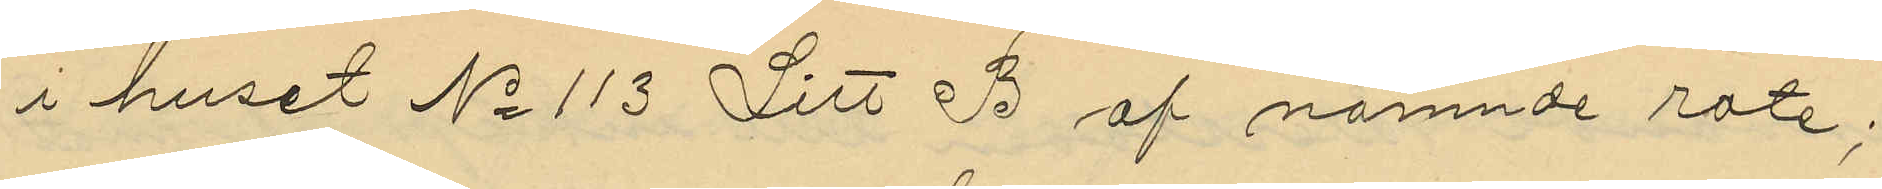i huset No 113 Litt B af nämnde rote;
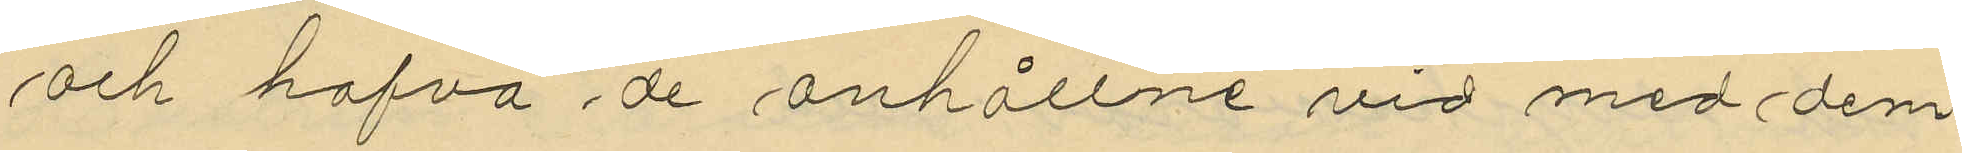och hafva de anhållne vid med dem
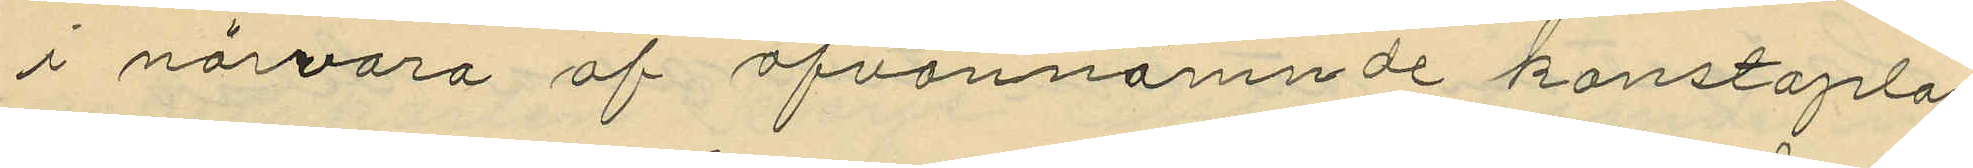i närvaro af ofvannämnde konstaplar
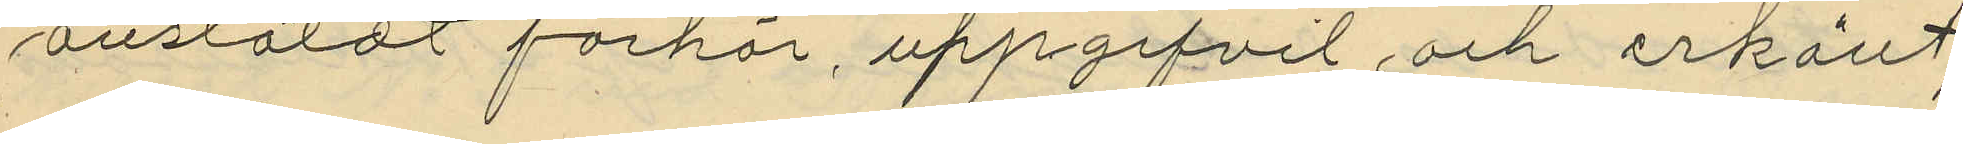anstäldt förhör, uppgifvit och erkänt;
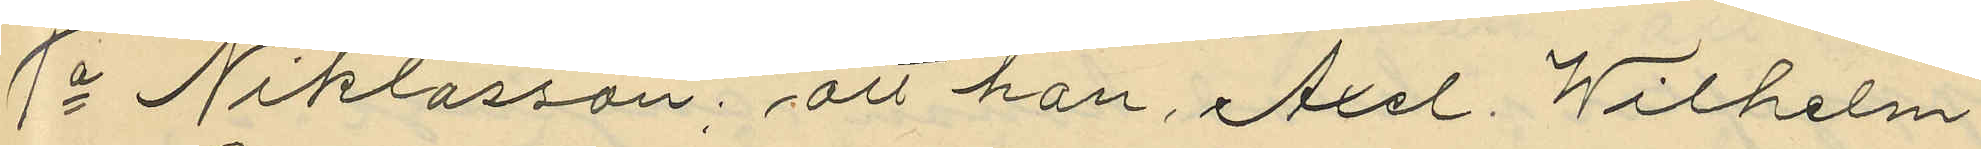1o Niklasson: att han, Axel Wilhelm
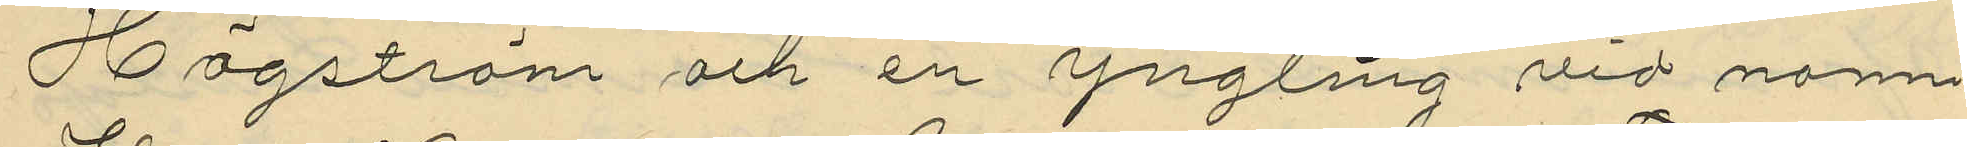Högström och en yngling vid namn
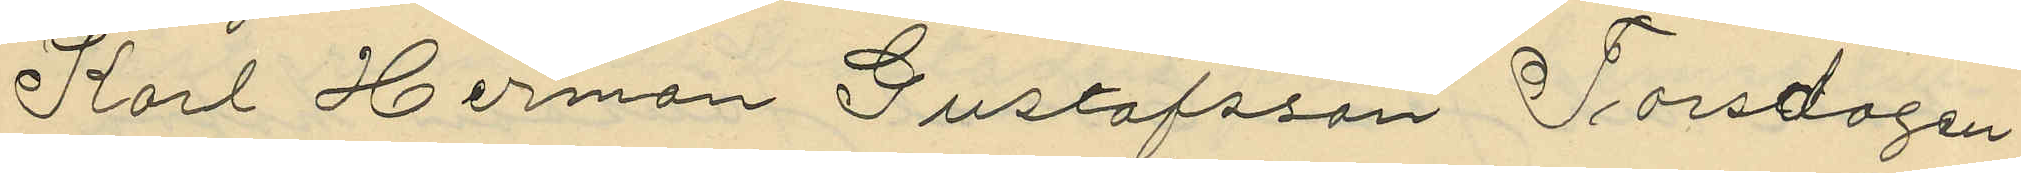Karl Herman Gustafsson Torsdagen
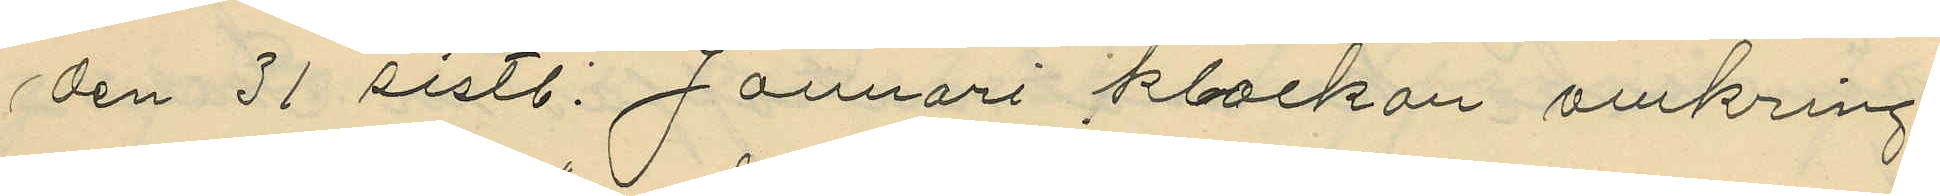den 31 sistl. Januari klockan omkring
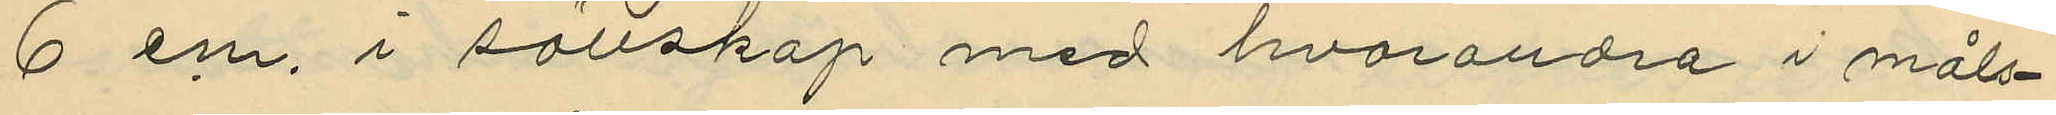6 em, i sällskap med hvarandra i måls¬
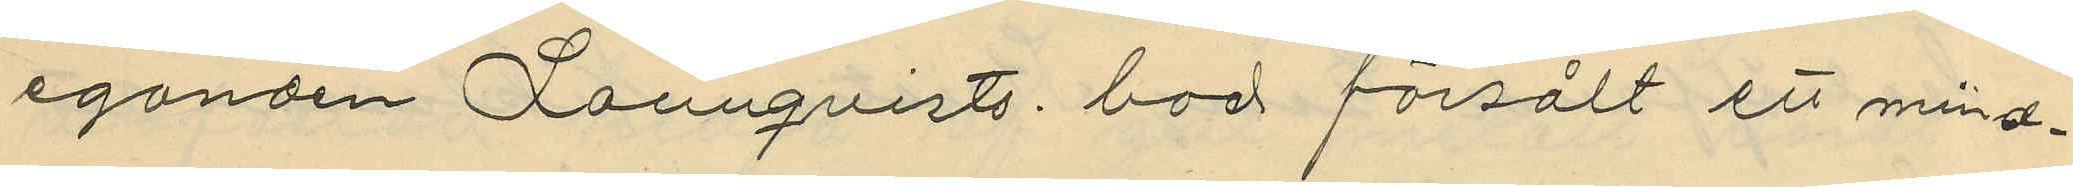eganden Lonnqvists bod försålt ett mind¬
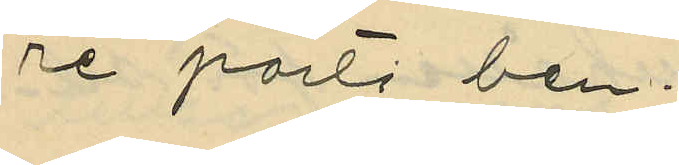re parti ben,
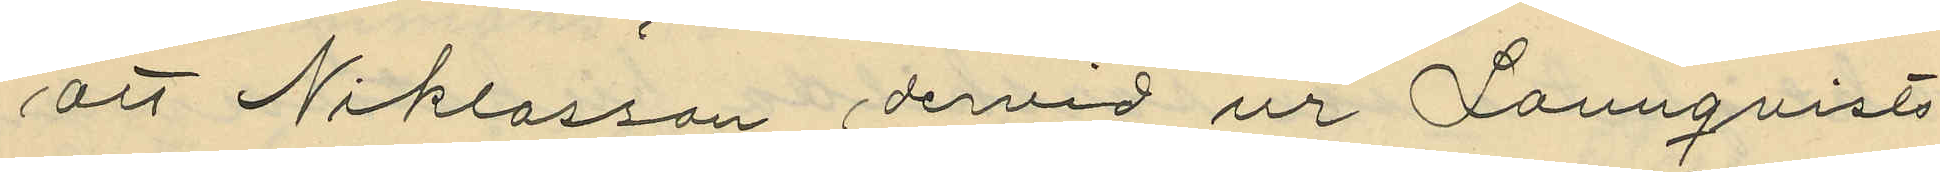att Niklasson dervid ur Lonnqvists
